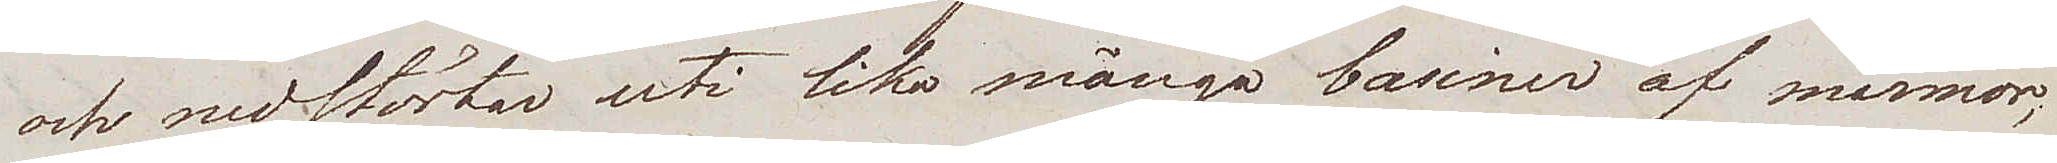och nedstörtar uti lika många basiner af marmor;
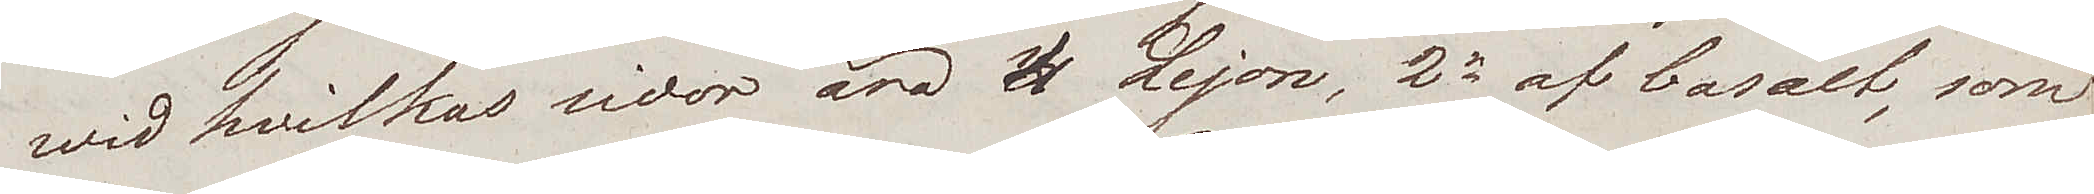wid hvilkas sidor äro 4 lejon, 2ne af basalt, som
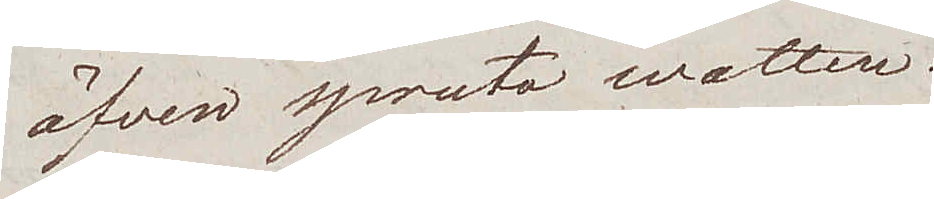äfven spruto watten.
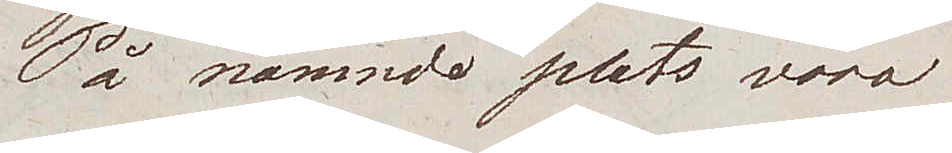På nämnde plats voro
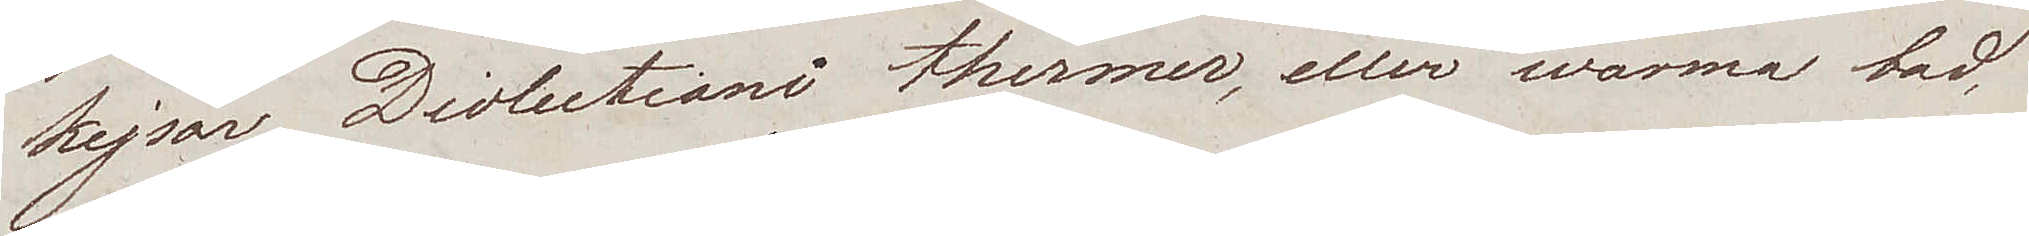kejsar Diolectiani thermer, eller warma bad
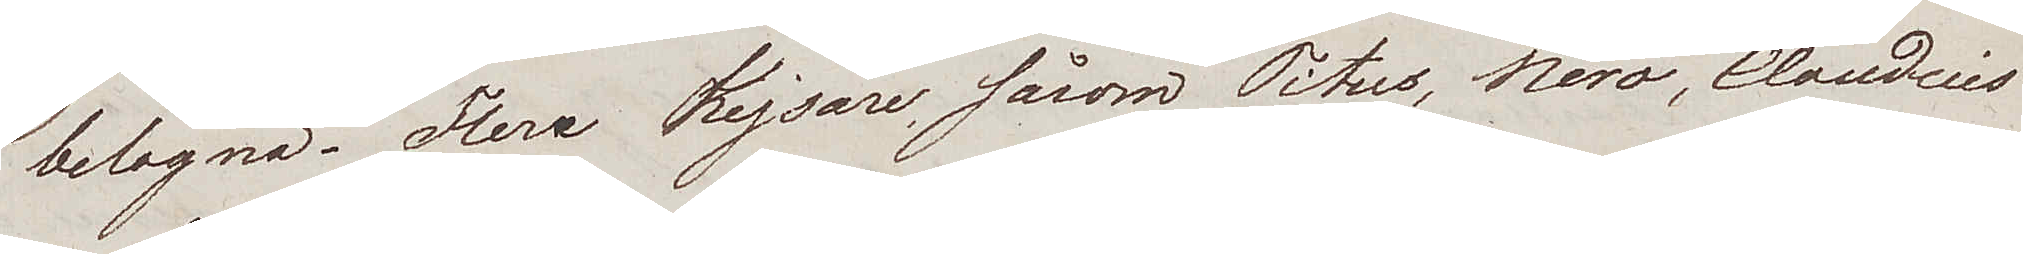belägna. Flera Kejsare, såsom Titus, Nero, Claudius
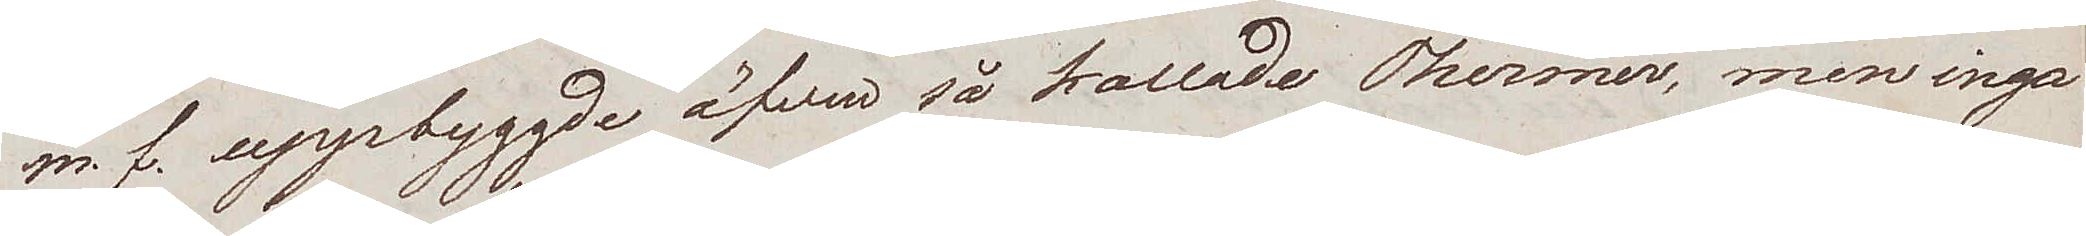m.f., uppbyggde äfven så kallade Thermer, men inga
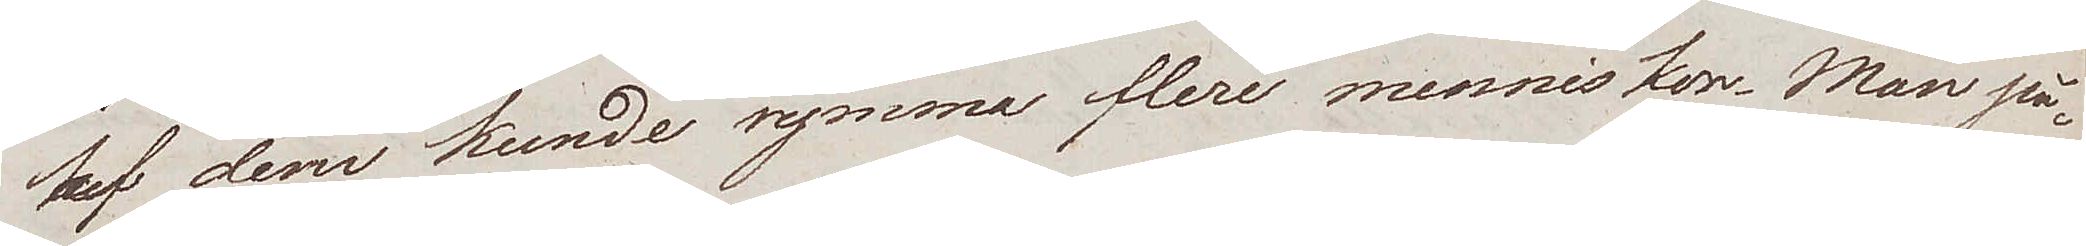af dem kunde rymma flere menniskor. Man på¬
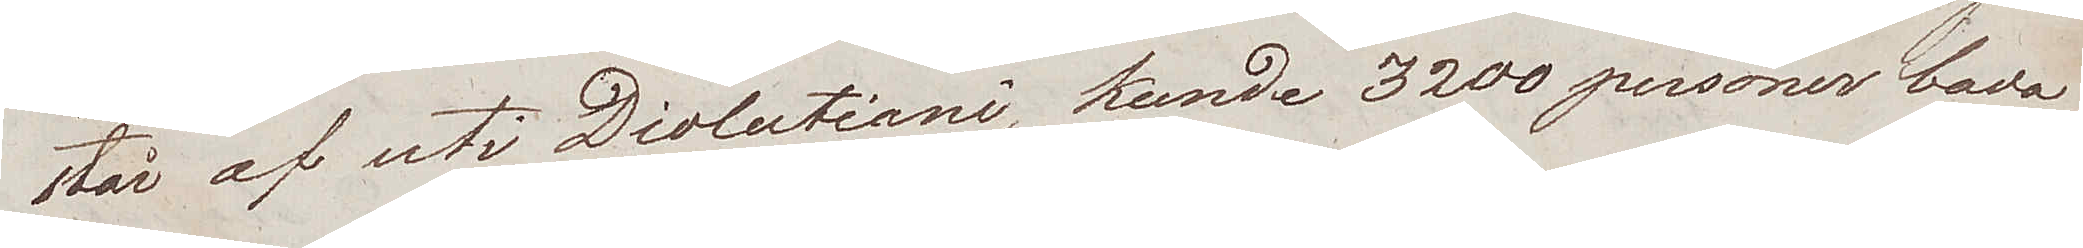står af uti Diolectani, kunde 3200 personer bada
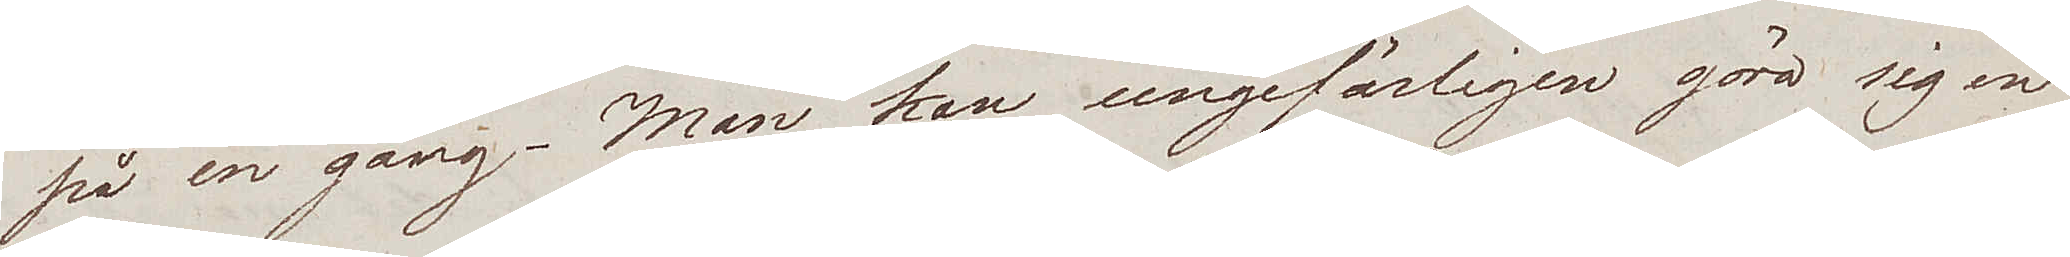på en gång. Man kan ungefärligen göra sig en
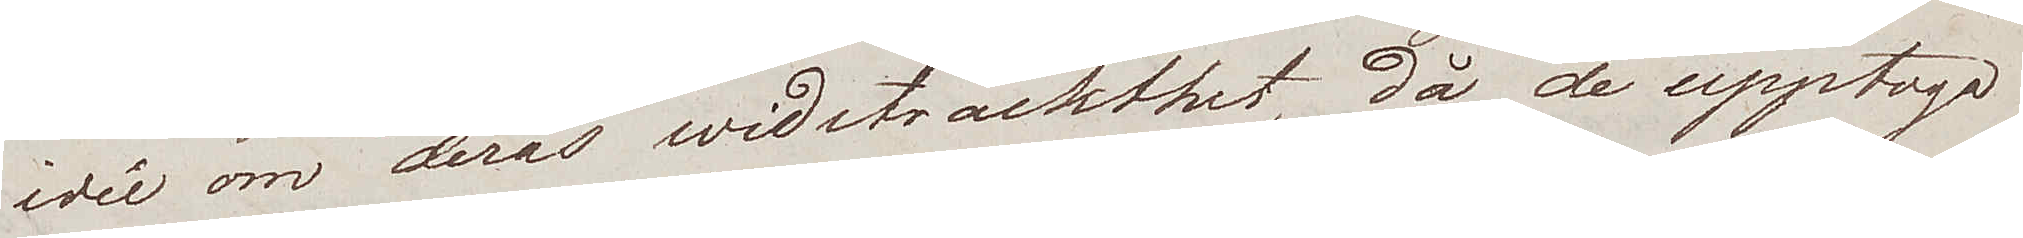idée om deras widsträckthet, då de upptogo
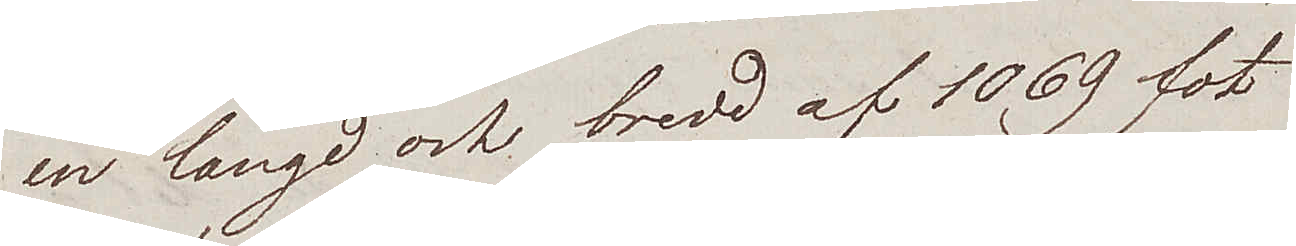en längd och bredd af 1069 fot
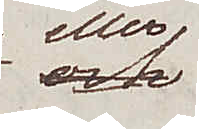eller
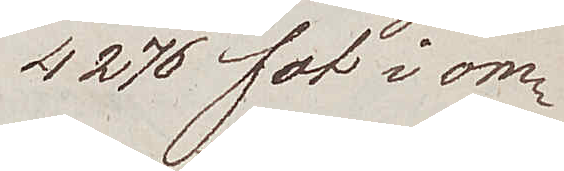4276 fot i om¬
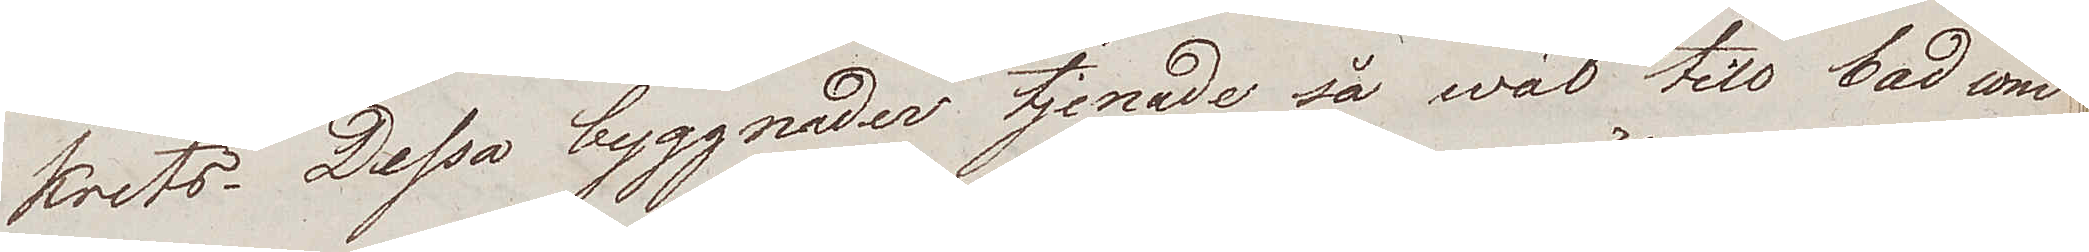krets. Dessa byggnader tjenade så wäl till bad som
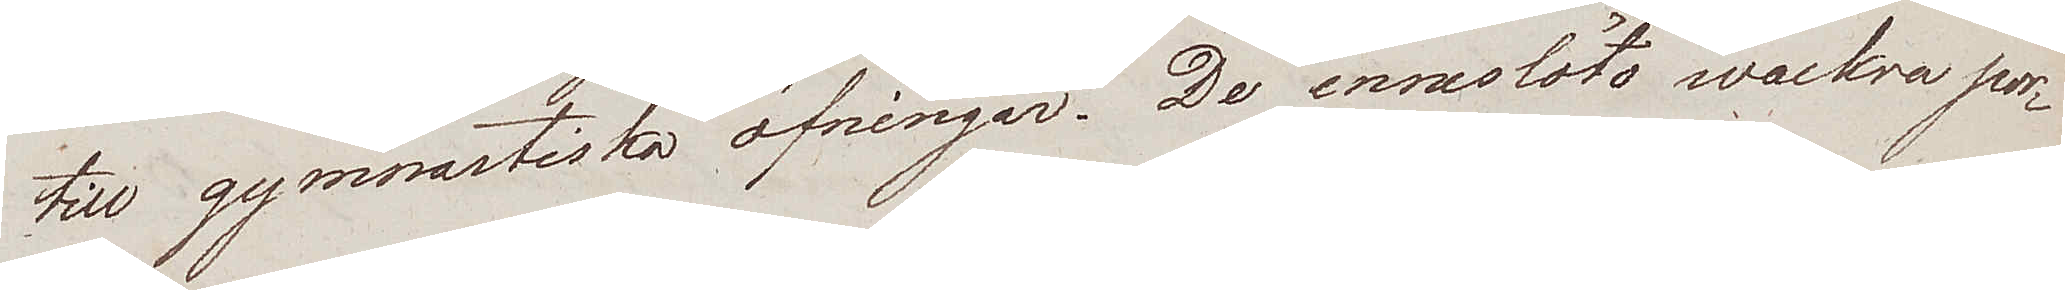till gymnastiska öfningar. De inneslöto vackra por¬
